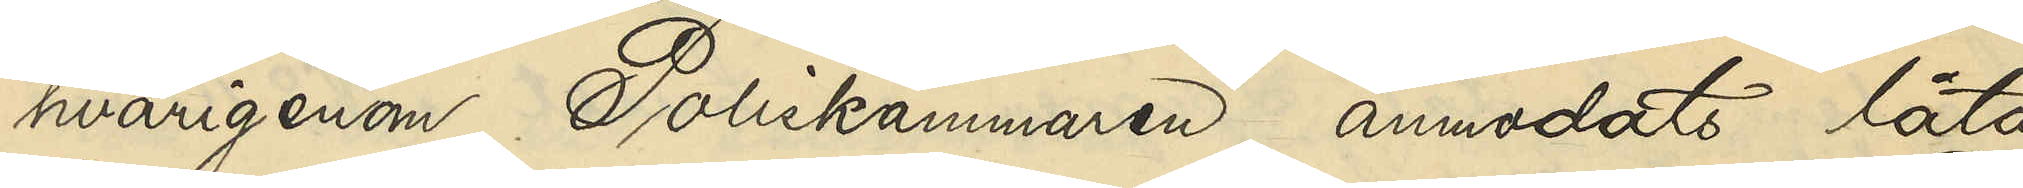hvarigenom Poliskammaren anmodats låta
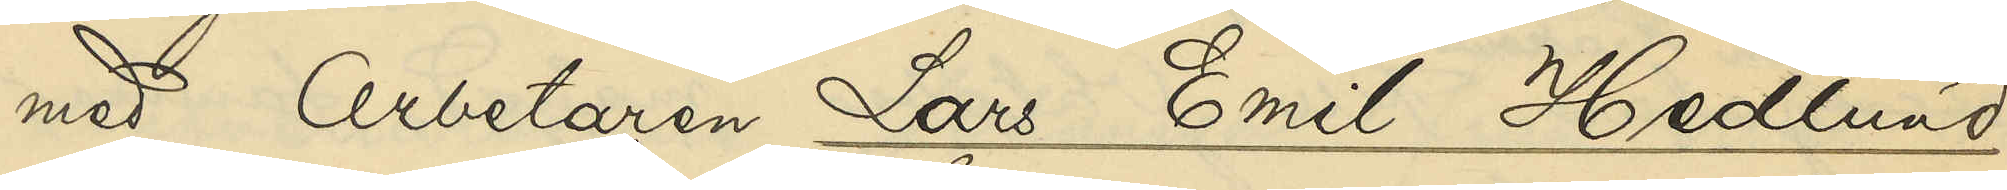med Arbetaren Lars Emil Hedlund
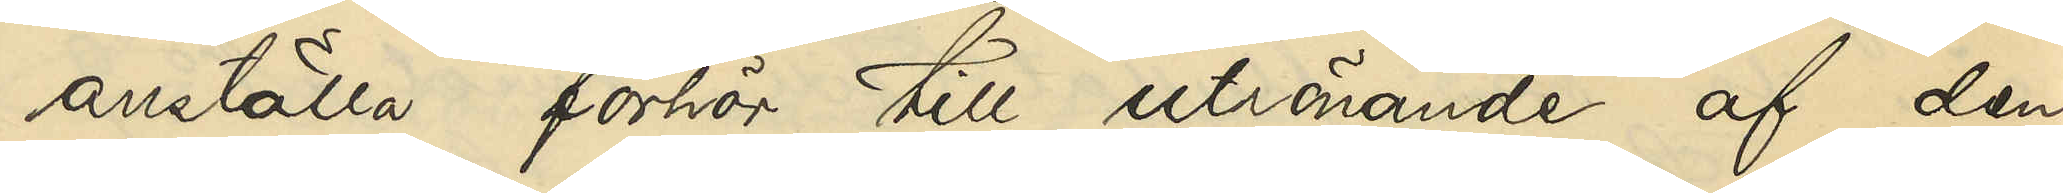anställa förhör till utrönande af den
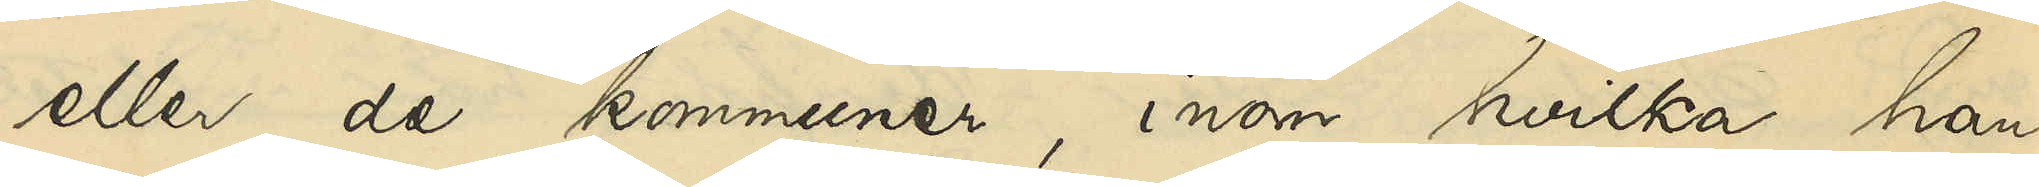eller de kommuner, inom hvilka han
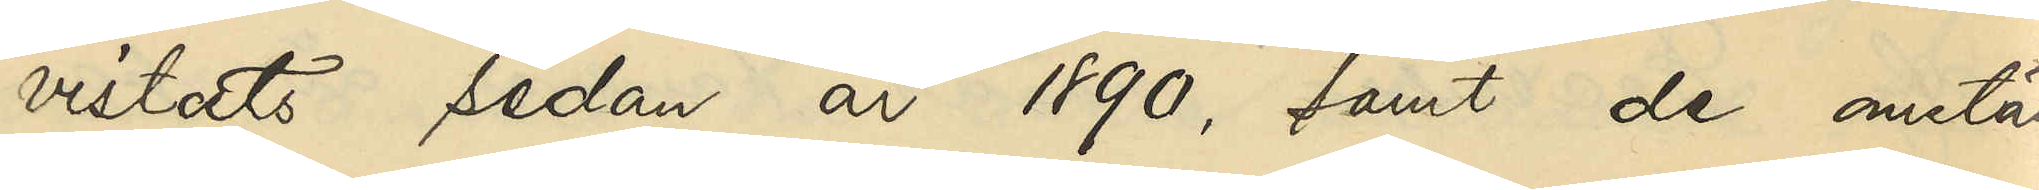vistats sedan år 1890, samt de omstän¬
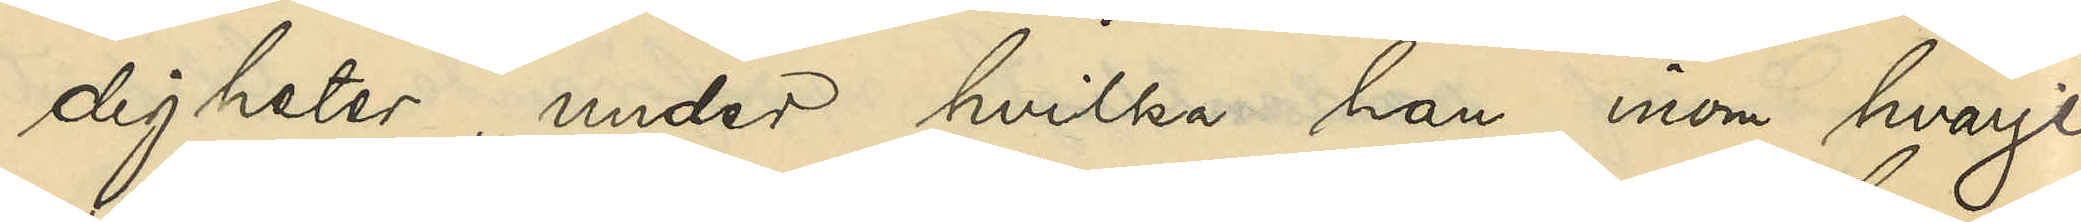digheter, under hvilka han inom hvarje
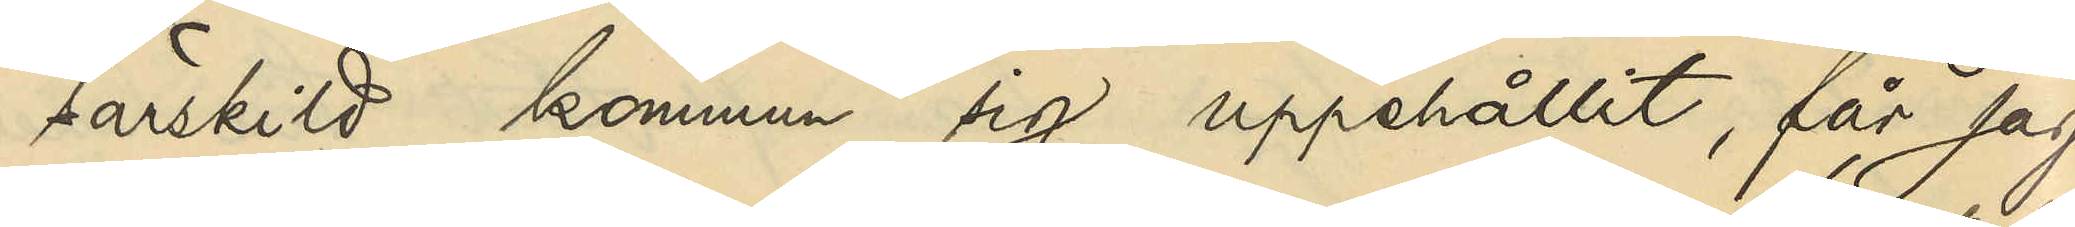särskild kommun sig uppehållit, får jag
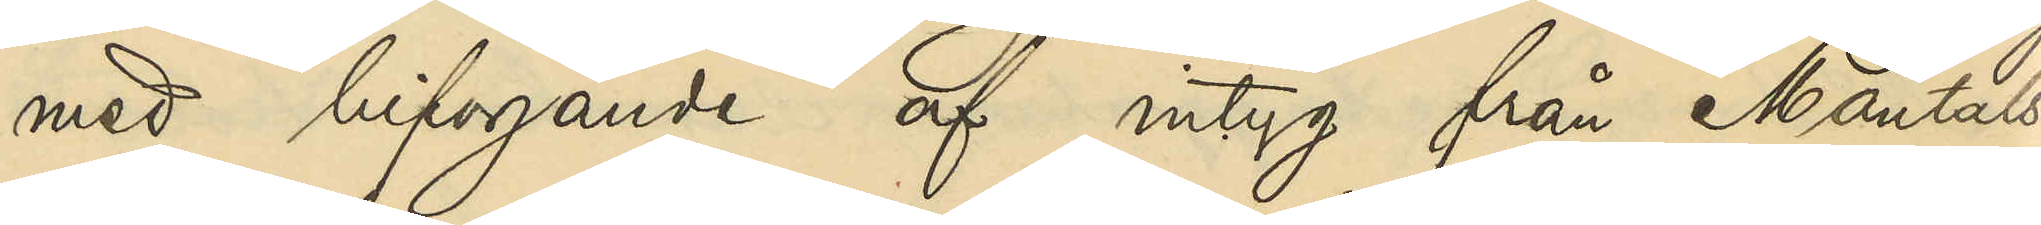med bifogande af intyg från Mantals¬
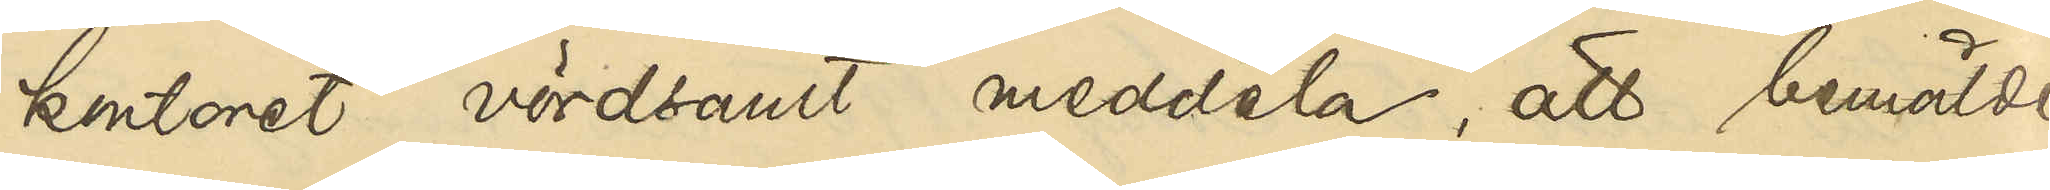kontoret vördsamt meddela, att bemälde
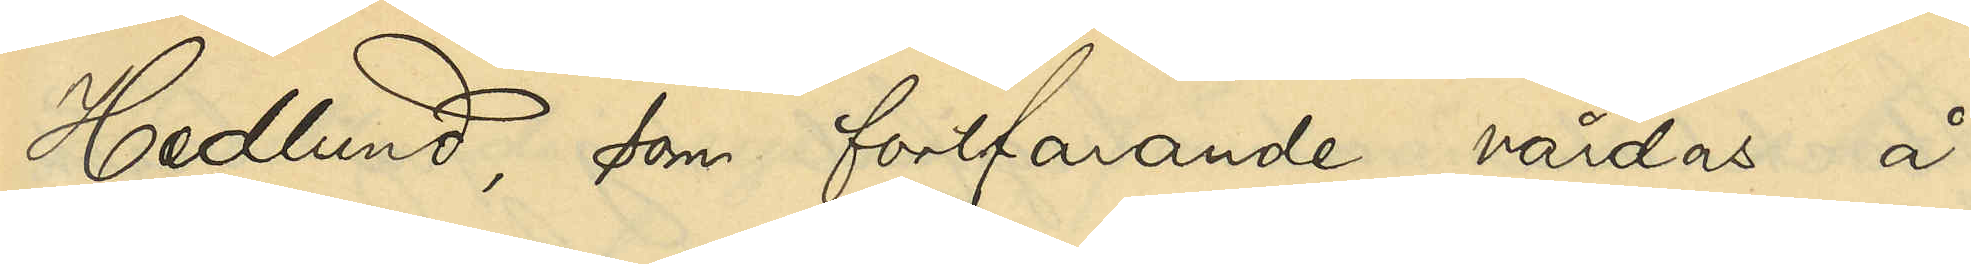Hedlund, som fortfarande vårdas å
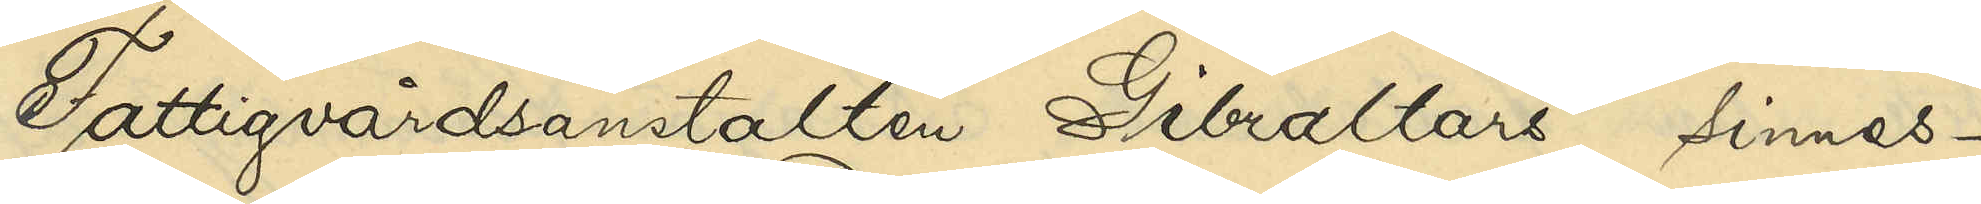Fattigvårdsanstalten Gibraltars sinnes¬
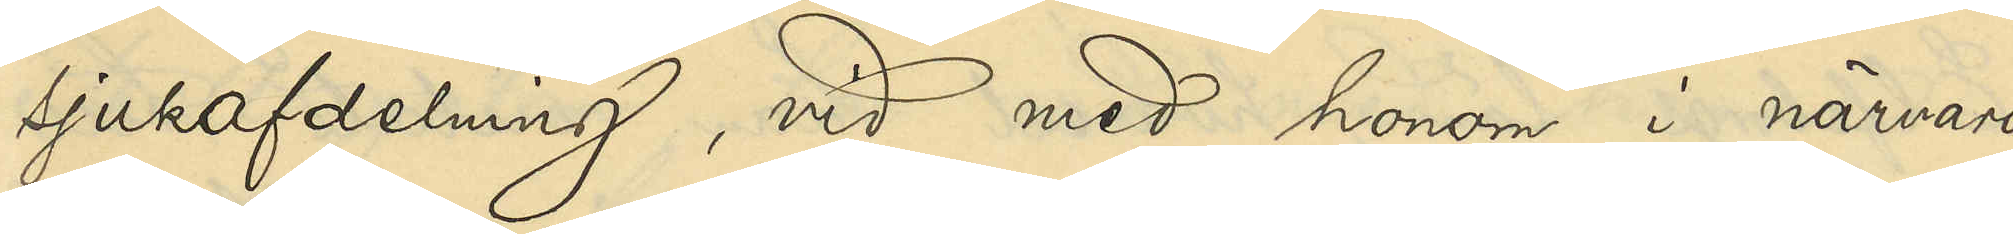sjukafdelning, vid med honom i närvaro
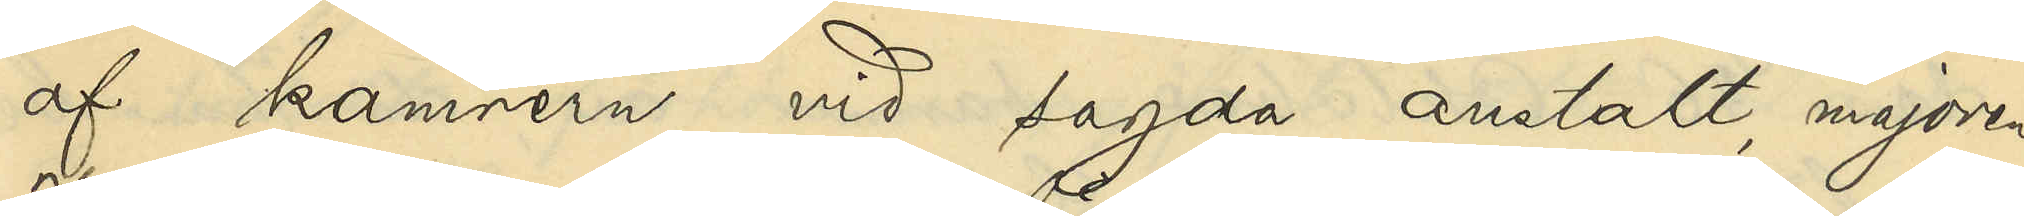af kamrern vid sagda anstalt, majoren
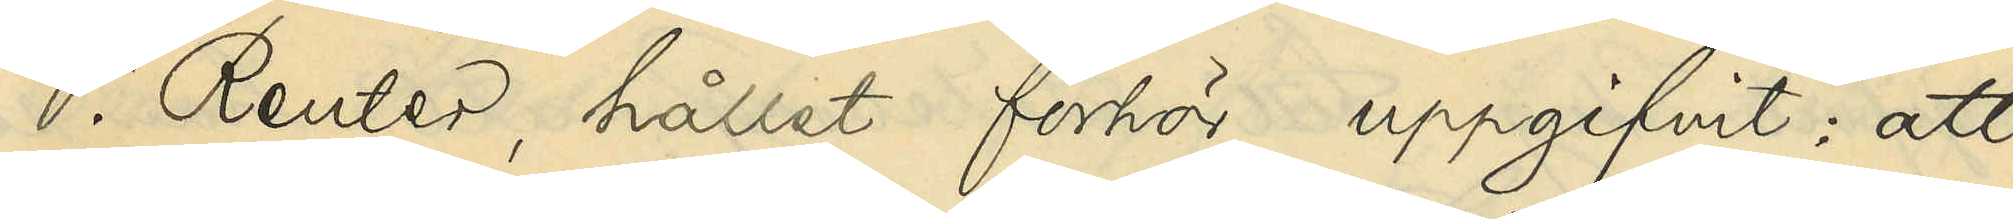V. Reuter, hållet förhör upgifvit: att
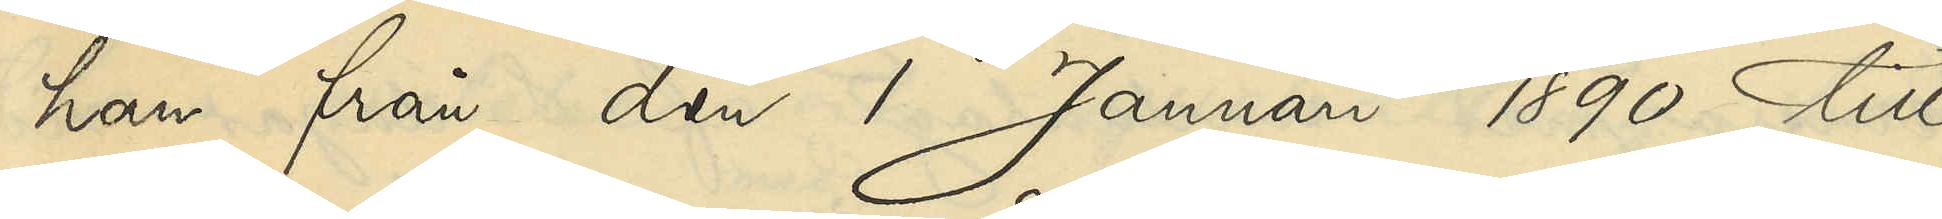han från den 1 Januari 1890 till
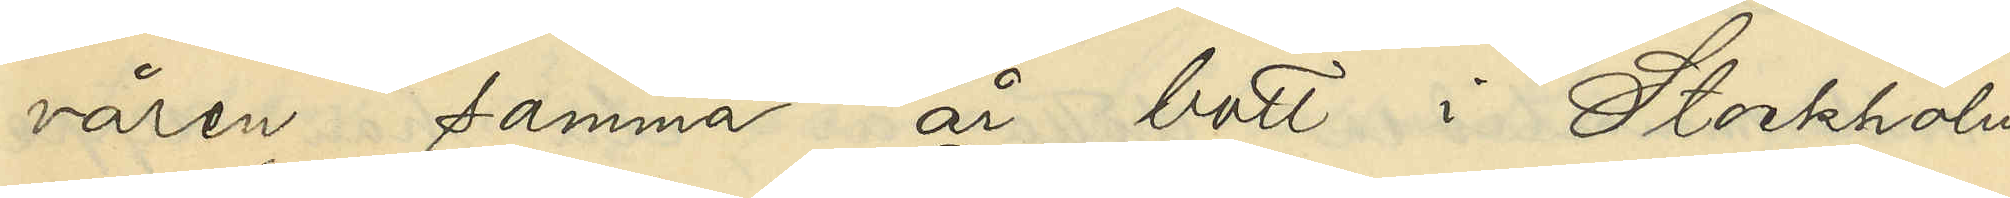våren samma år bott i Stockholm
